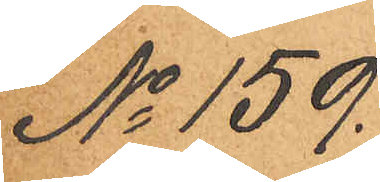No 159.
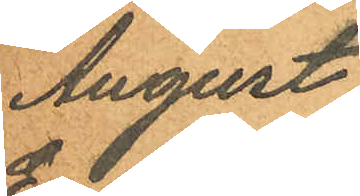August
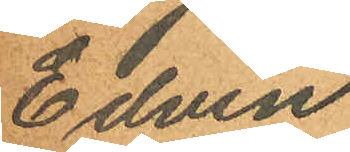Edvin
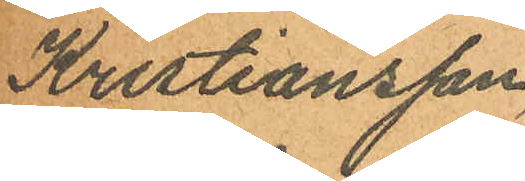Kristiansson
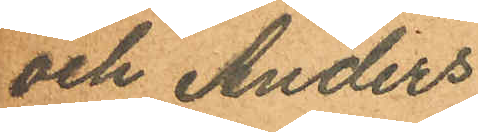och Anders
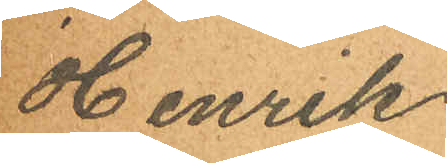Henrik
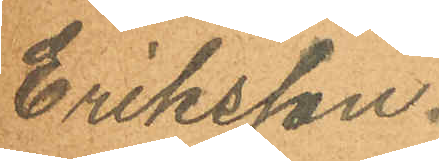Eriksson.
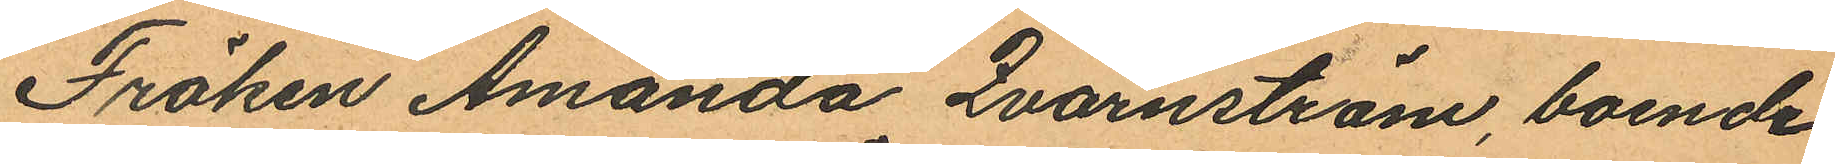Fröken Amanda Qvarnström, boende
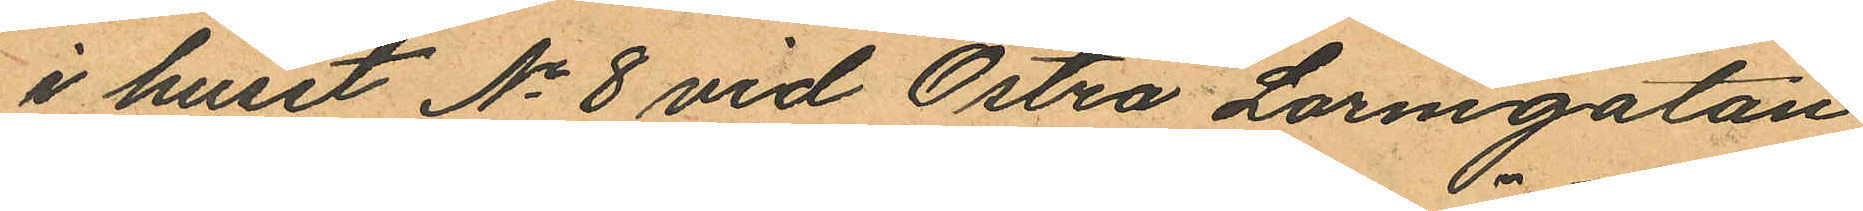i huset No 8 vid Östra Larmgatan
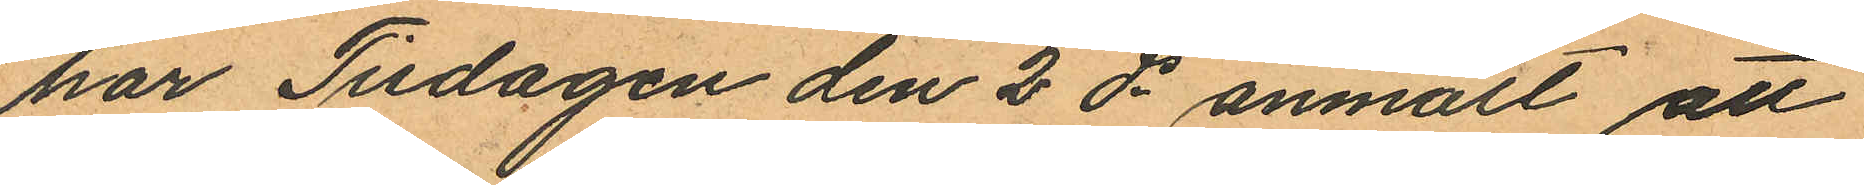har Tisdagen den 2 ds anmält att
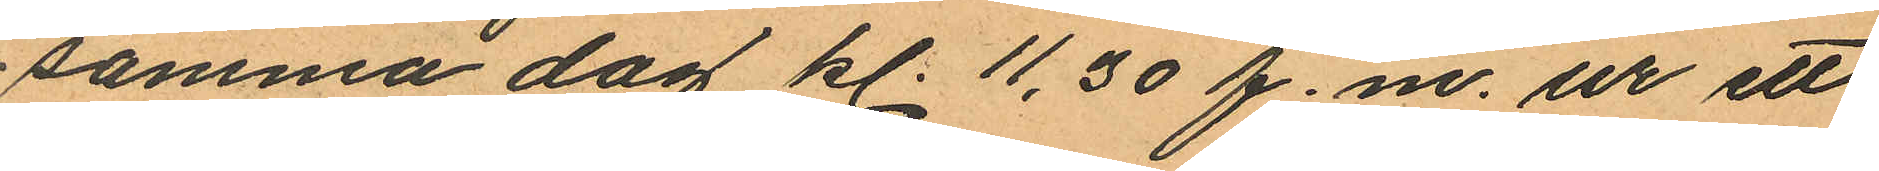samma dag kl. 11,30 f.m. ur ett
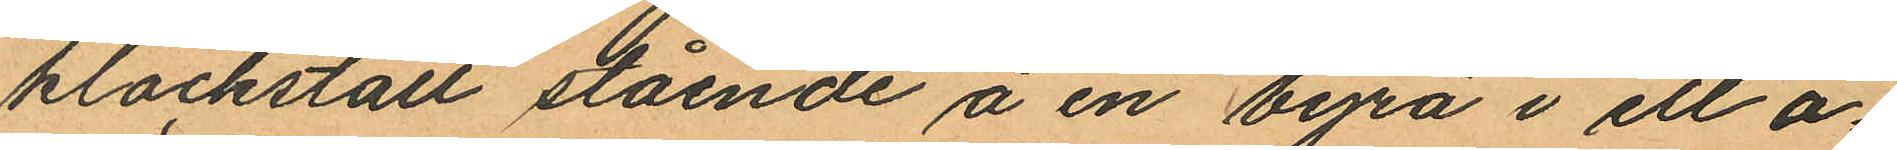klockställ stående å en byrå i ett o¬
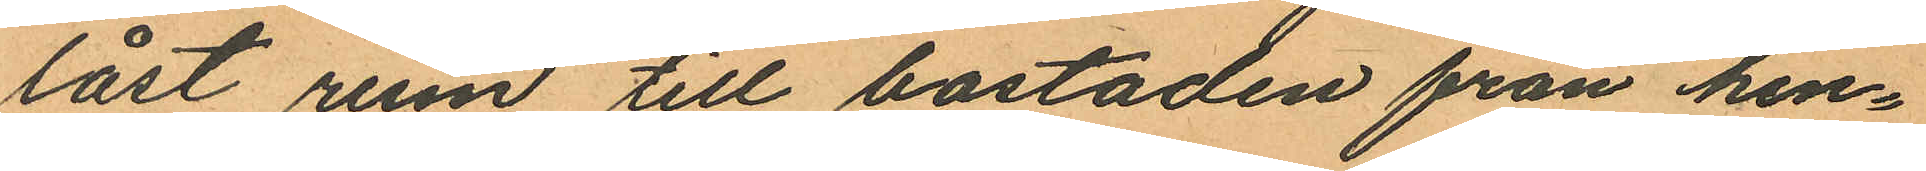låst rum till bostaden från hen¬
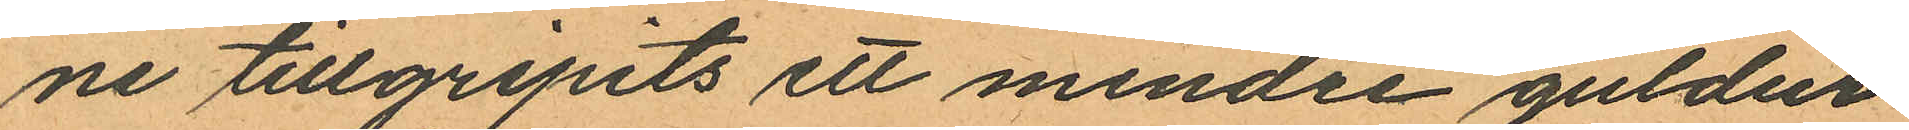ne tillgripits ett mindre guldur
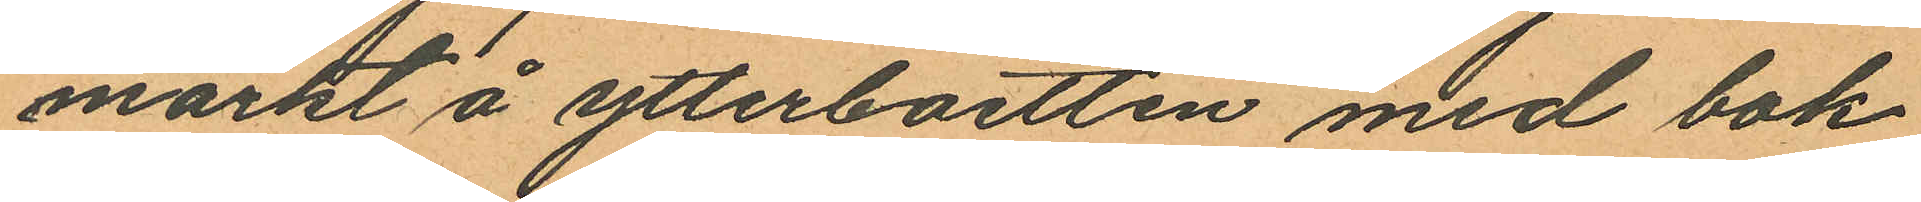märkt å ytterboetten med bok
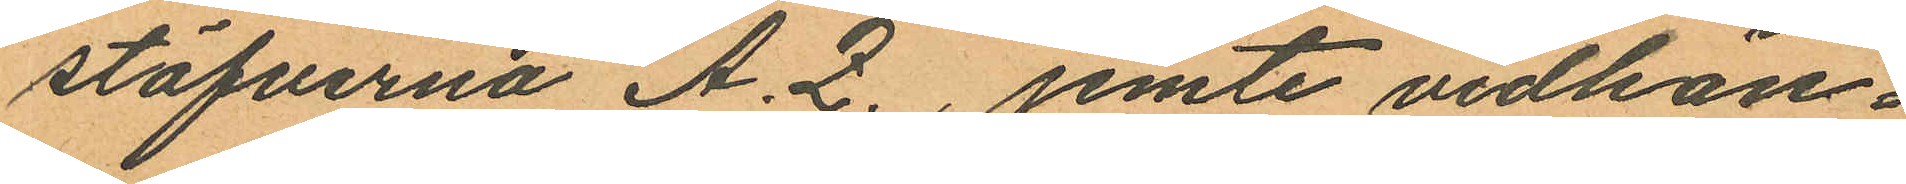stäfverna A. Z., jemte vidhän¬
